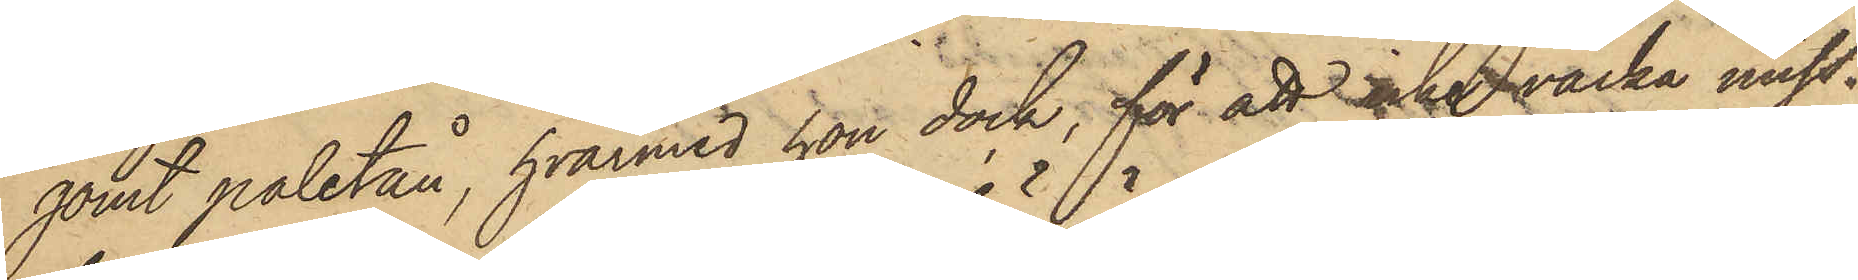gömt paletån, hvarmed hon dock, för att icke väcka miss¬
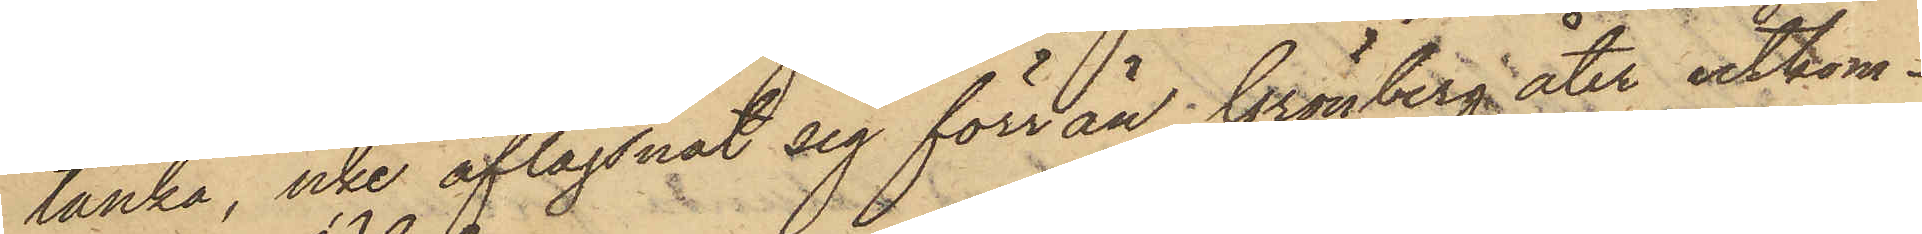tanke, icke aflägsnat sig förr än Grönberg åter utkom¬
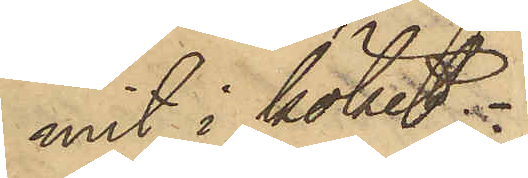mit i köket.
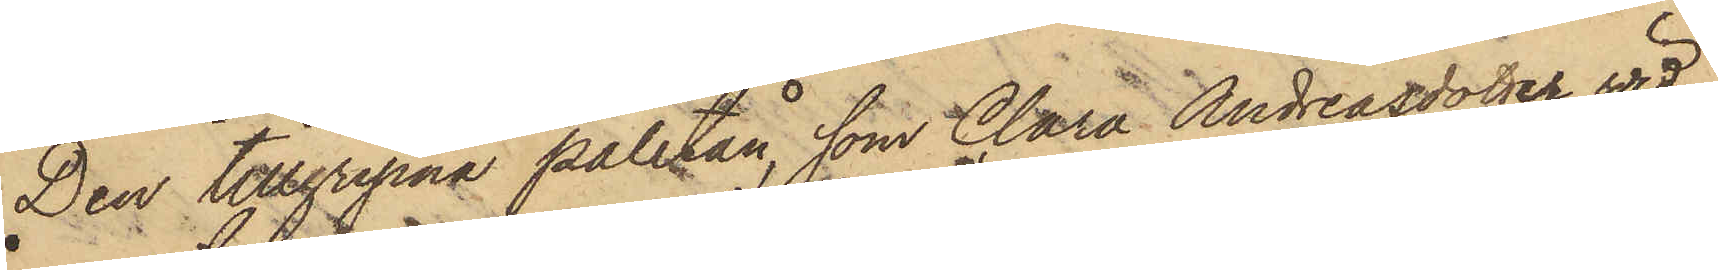Den tillgripna paletån, som Clara Andreasdotter vid
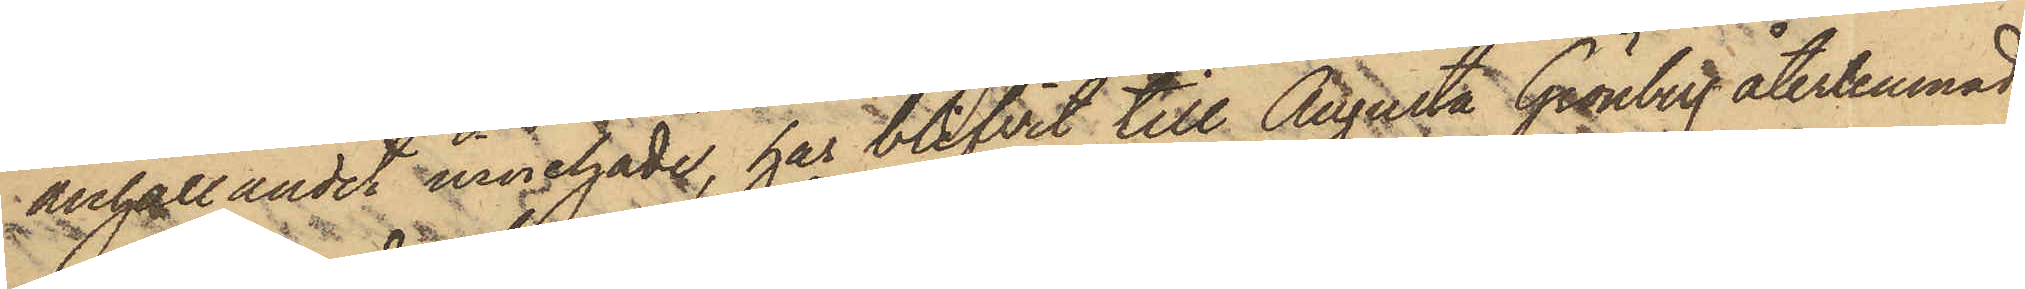anhållandet innehade, har blifvit till Augusta Grönbeg återlemnad.
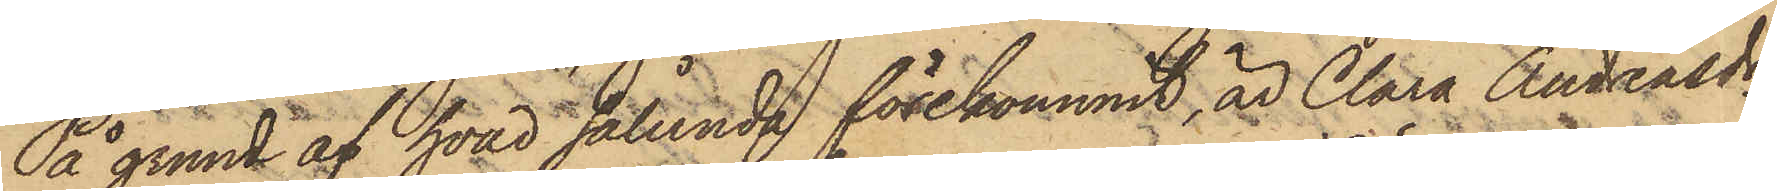På grund af hvad sålunda förekommit, är Clara Andreasdr
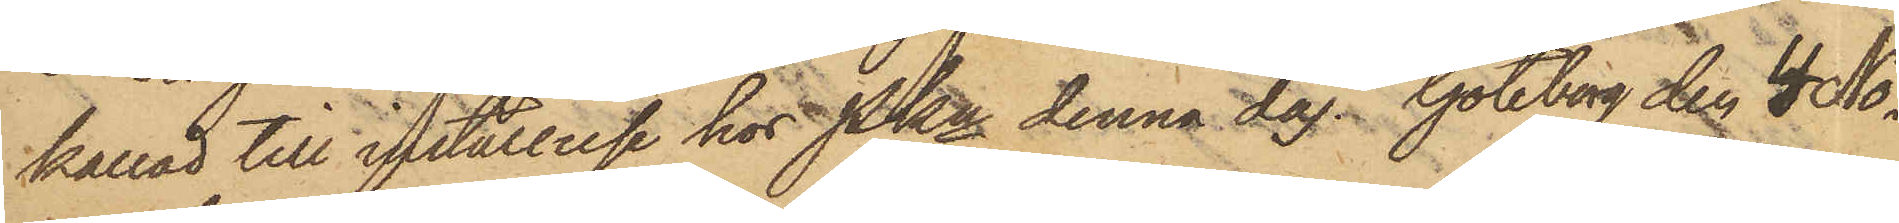kallad till inställelse hos Pkn denna dag. Göteborg den 4 No¬
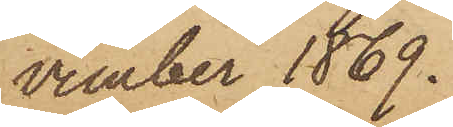vember 1869.
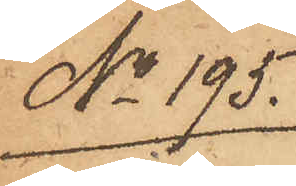No 195.
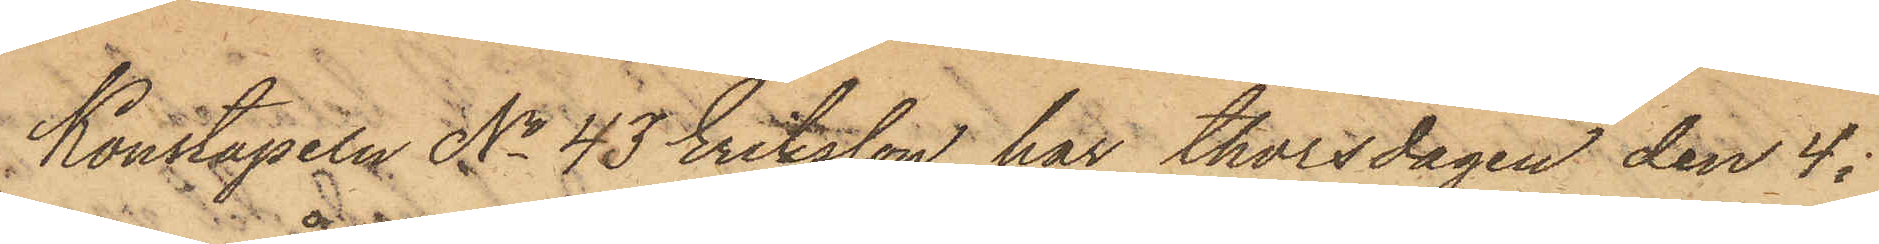Konstapeln No 43 Eriksson har thorsdagen den 4 i
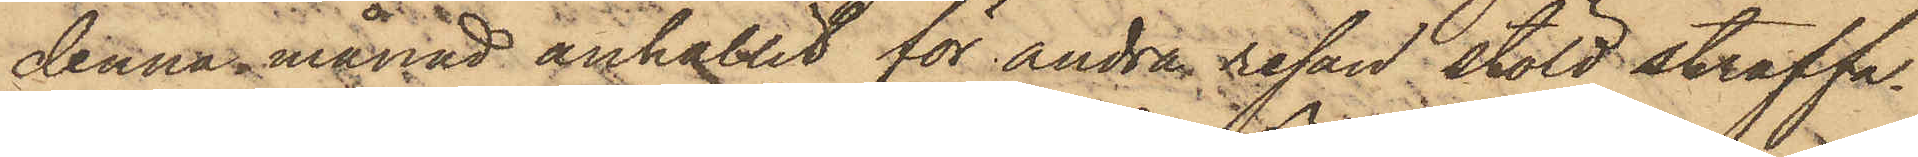denna månad anhållit för andra resan stöld straffa¬
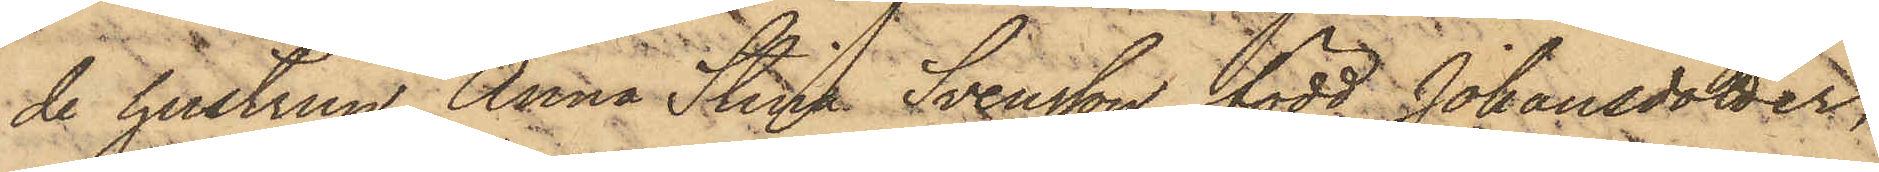de hustrun Anna Stina Svensson, född Johansdotter;
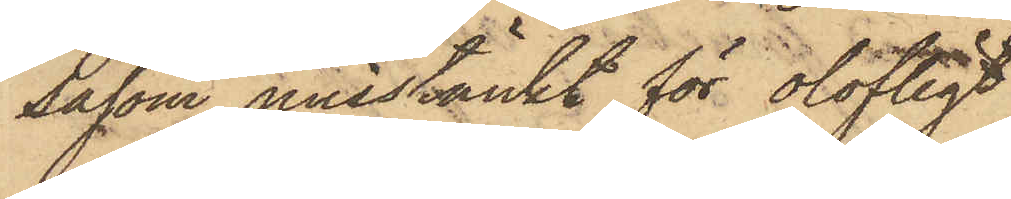såsom misstänkt för olofligt
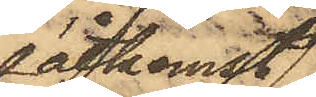åtkomst
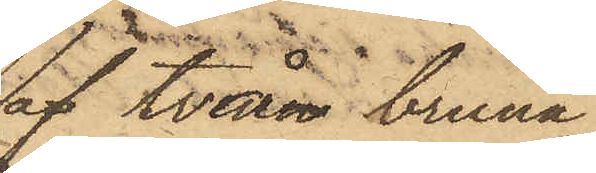af två bruna
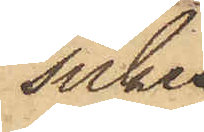silke¬
